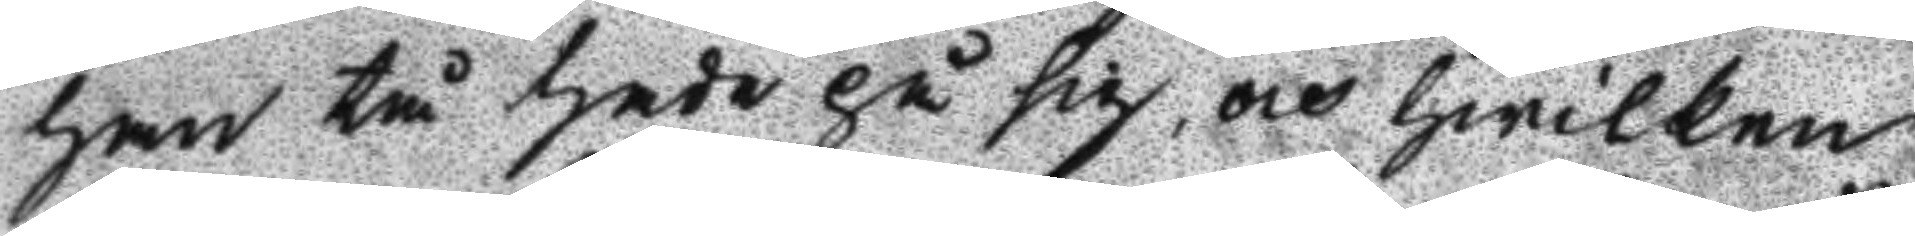han tå hade på sig, och hwilken
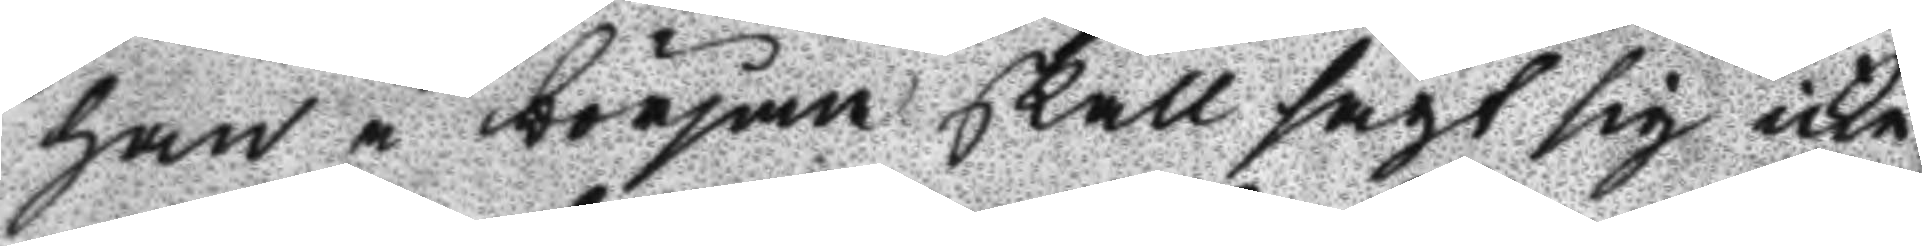han i början skall sagt sig icke
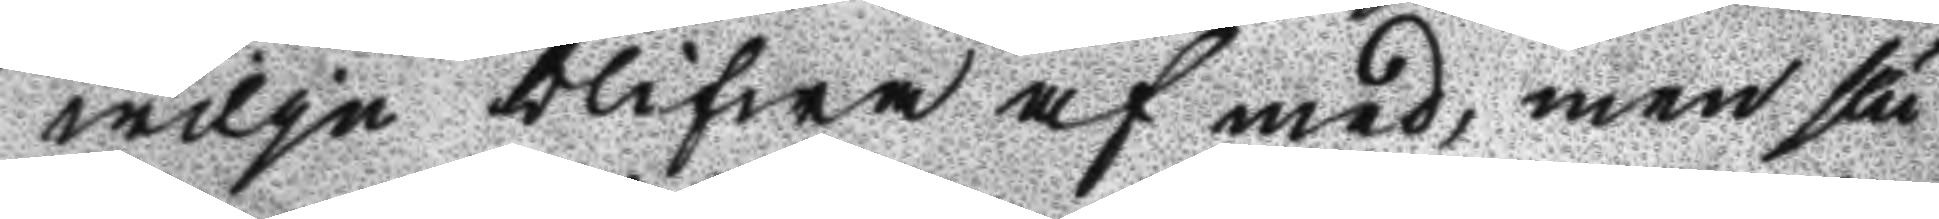wilja blifwa af med, men slu
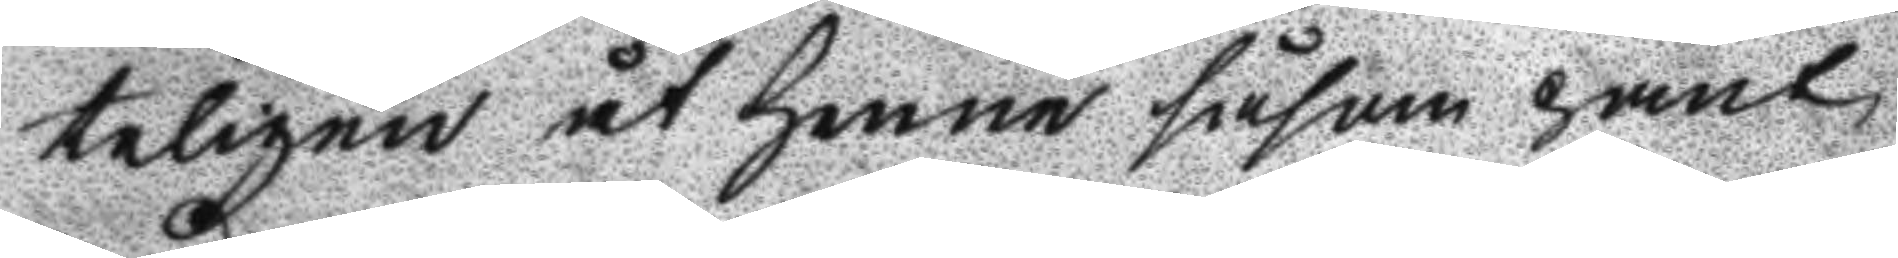teligen åt henne såsom pant
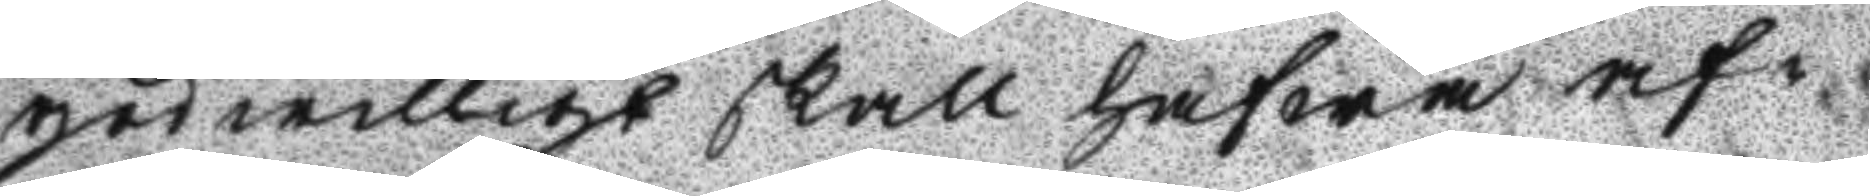godwilligt skall hafwa af¬
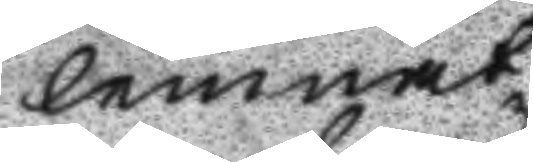lemnat.
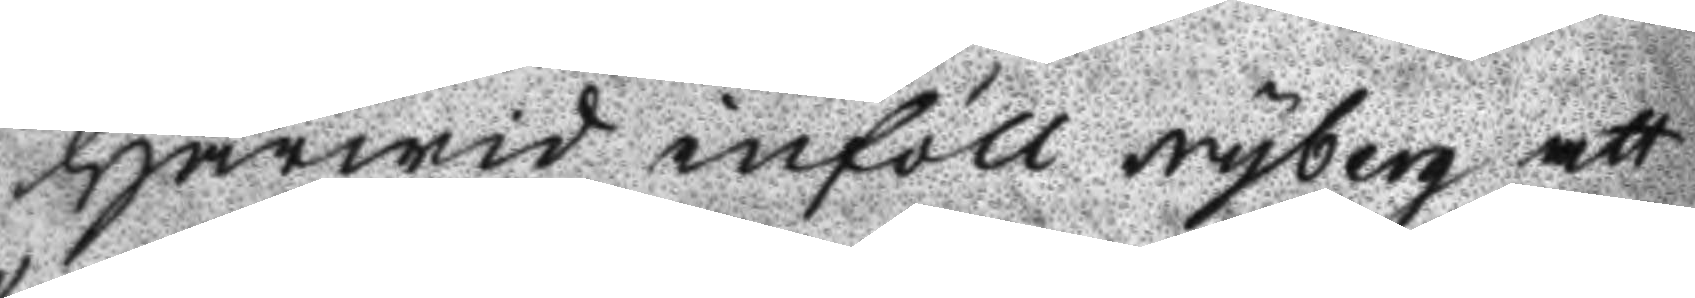Härwid inföll Nyberg att
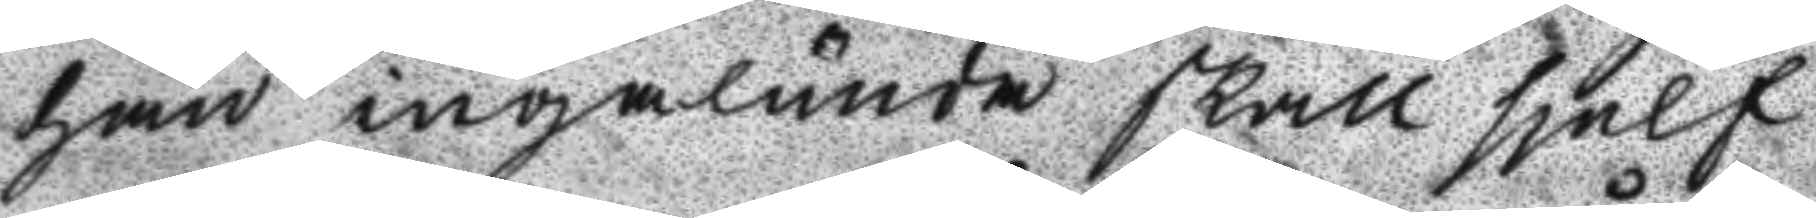han ingalunda skall sjelf
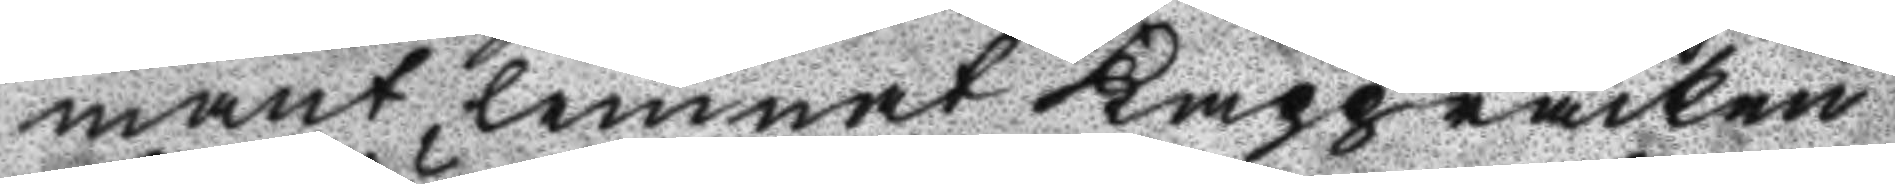mant lemnat Kappråcken
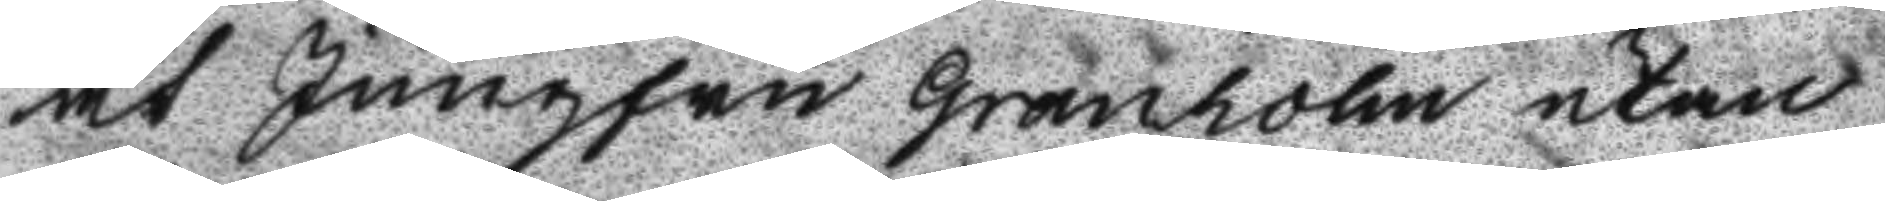åt Jungfru Granholm utan
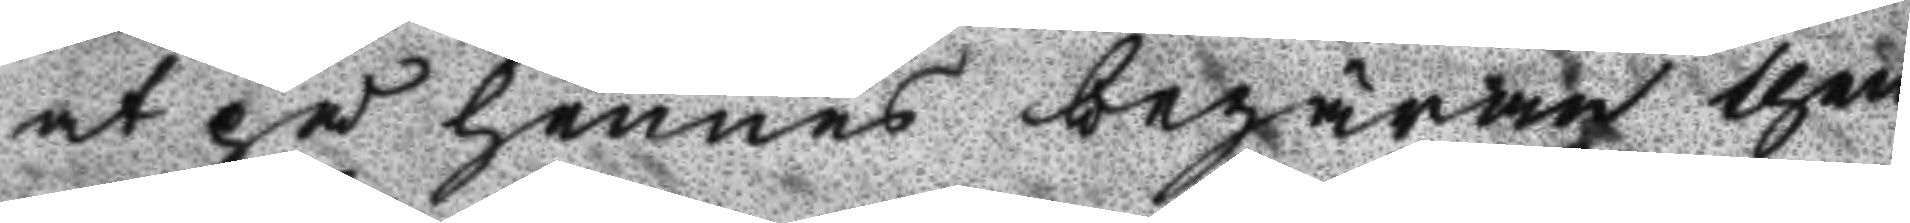at på hennes begäran then
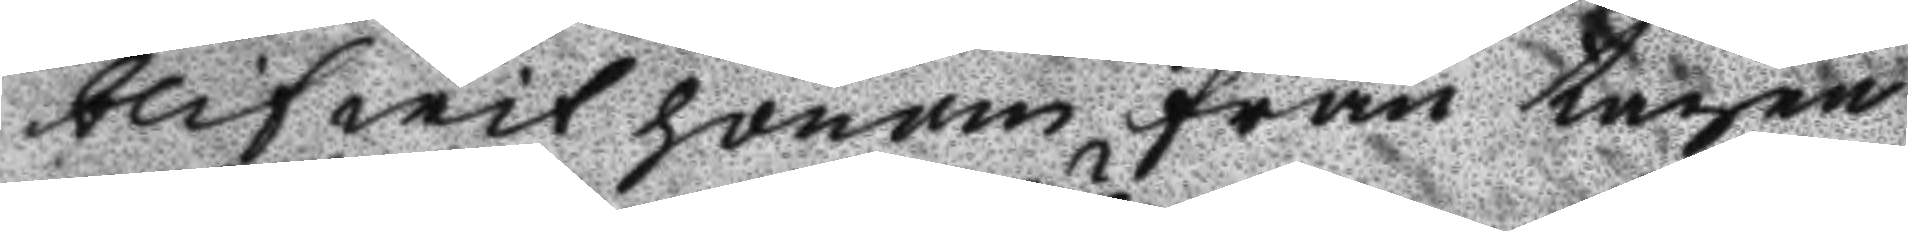blifwit honom från tagen
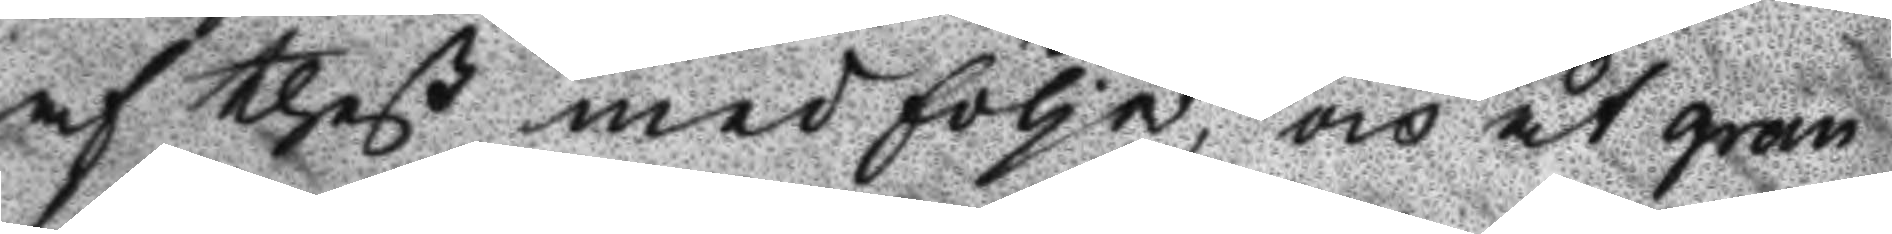af theß medfölje, och åt gran
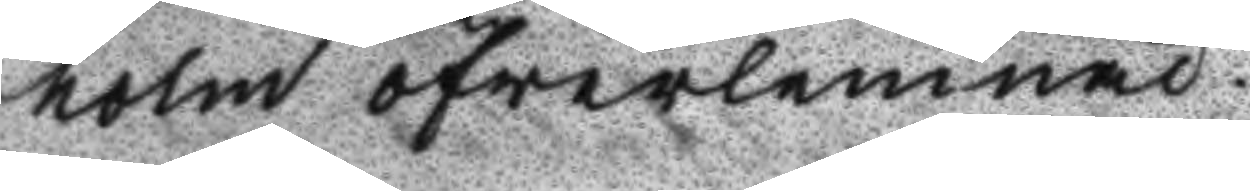holm öfwerlemnad.
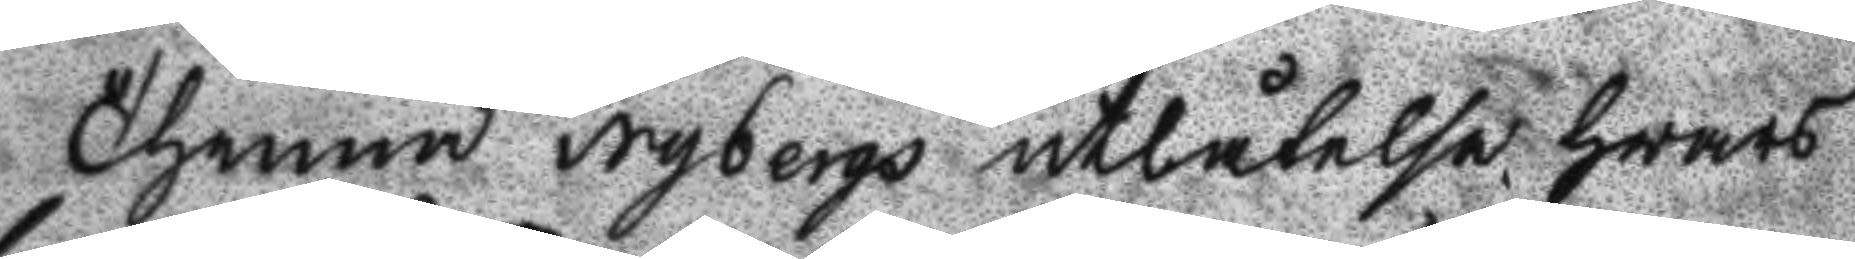Thenna Nybergs utlåtelse hwars
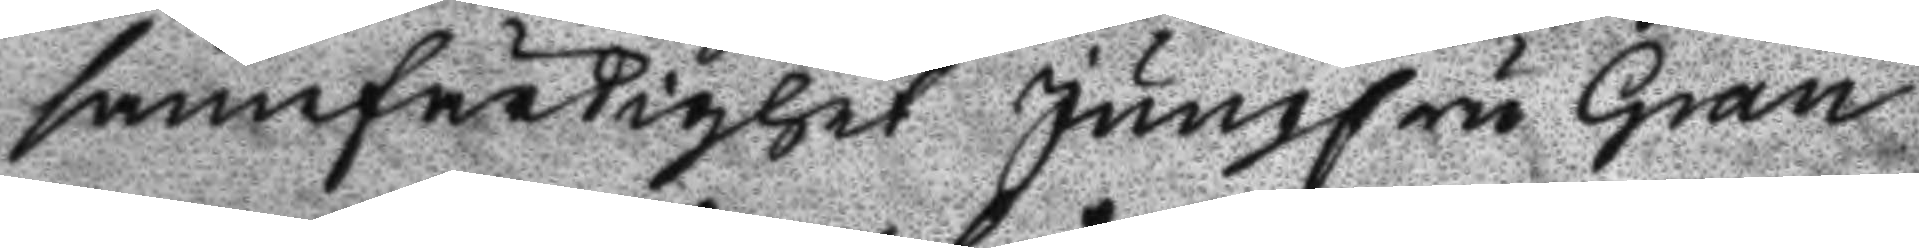sannfärdighet Jungfru Gran
